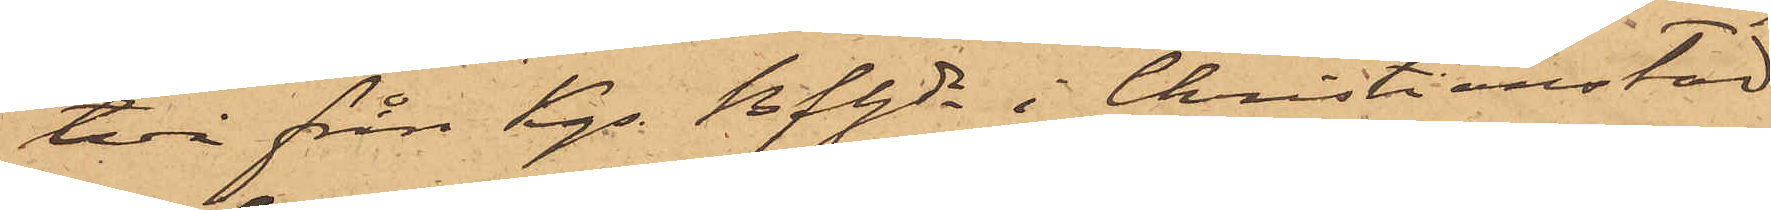två från Kgs Bfhde i Christianstad
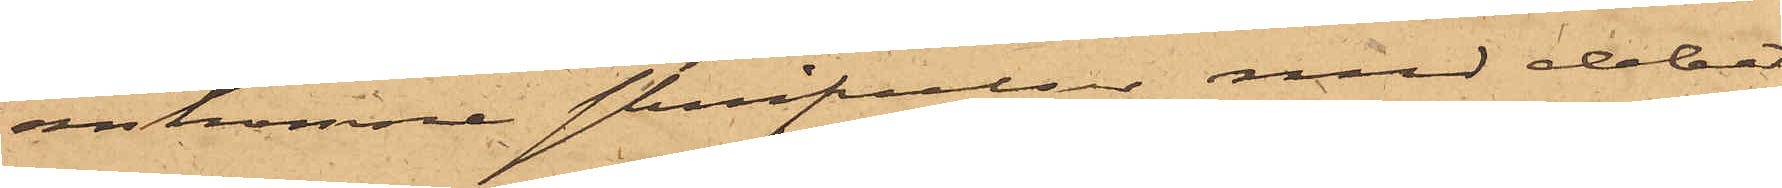ankomne skrifvelser med debet¬
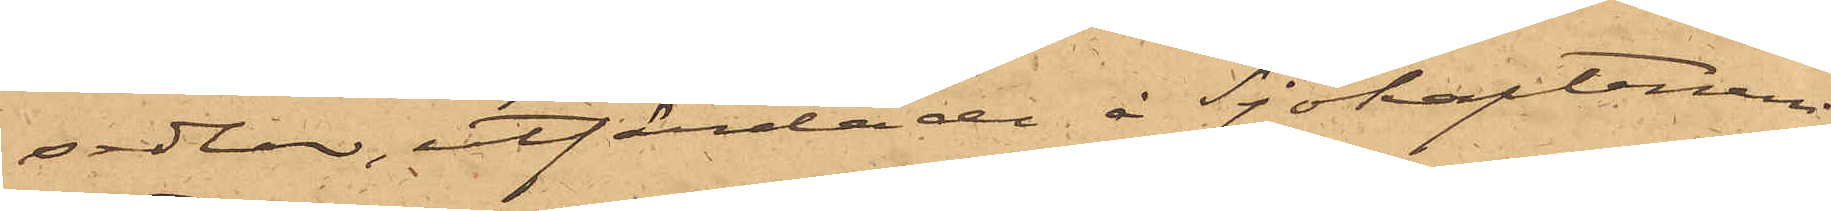sedlar, utfärdade å Sjökaptenen
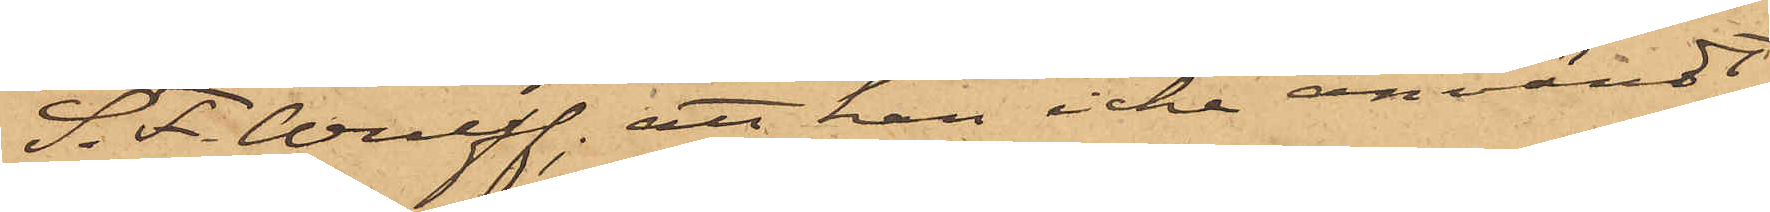S. F. Wulff; att han icke användt
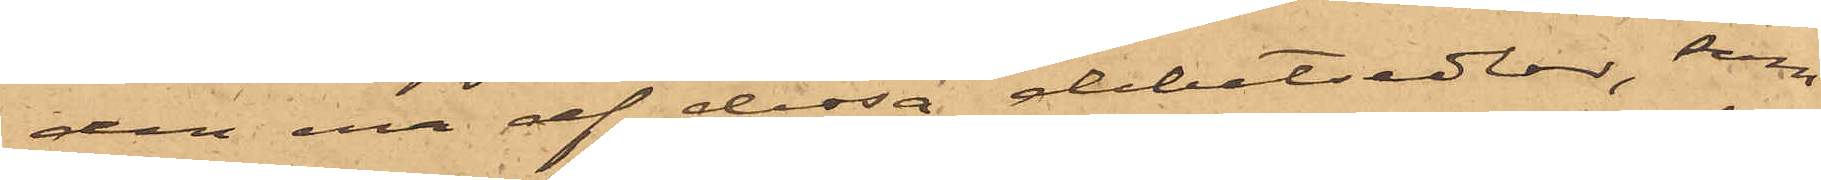den ena af dessa debetsedlar, som
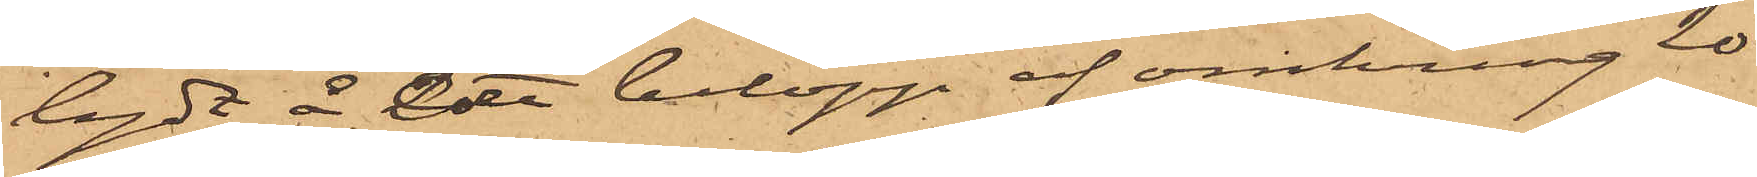lydt å större belopp af omkring 90
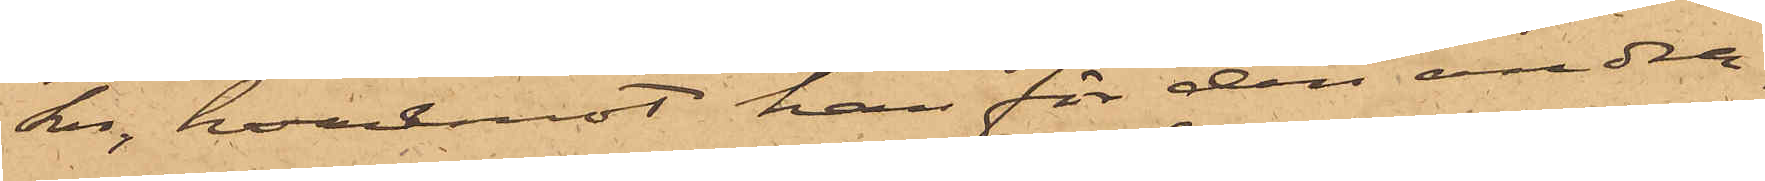kr, hvaremot han för den andra
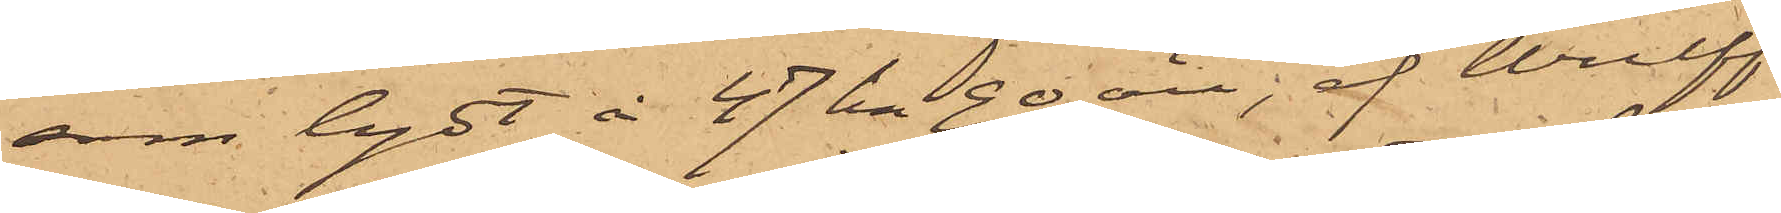som lydt å 47 kr 90 öre, af Wulff
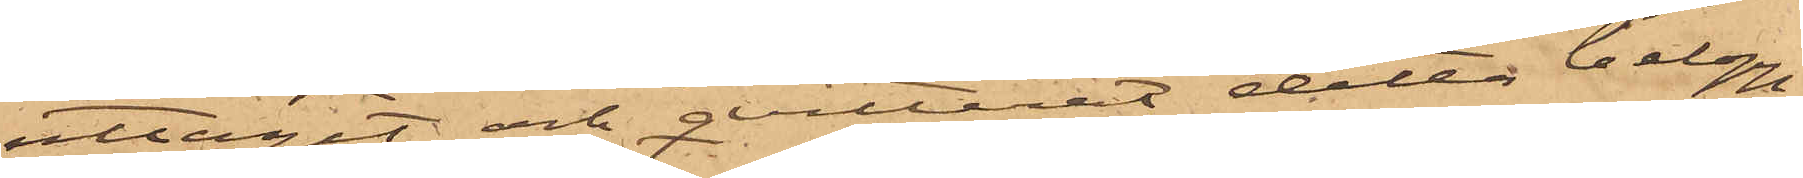uttagit och qvitterat detta belopp,
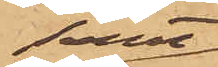samt
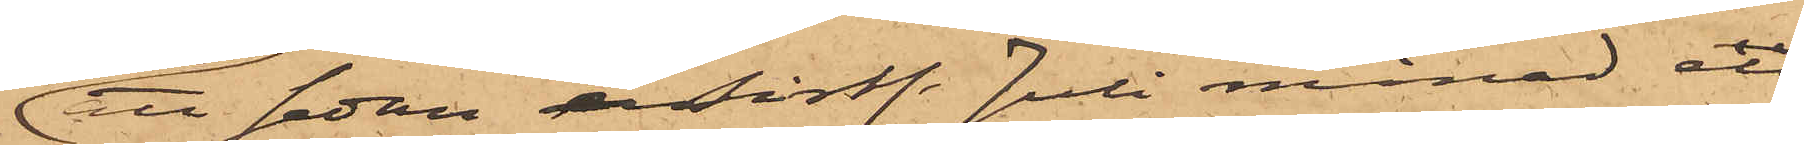att sedan  sistl. Juli månad att
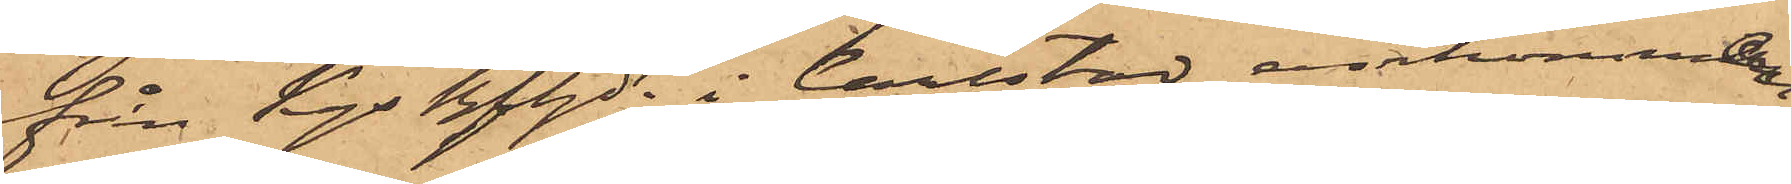från Kgs Bfhde i Carlstad ankommande
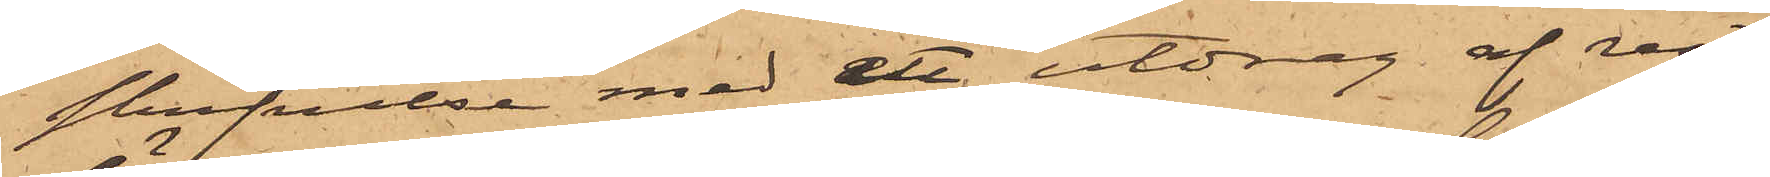skrifvelse med ett utdrag af rest¬
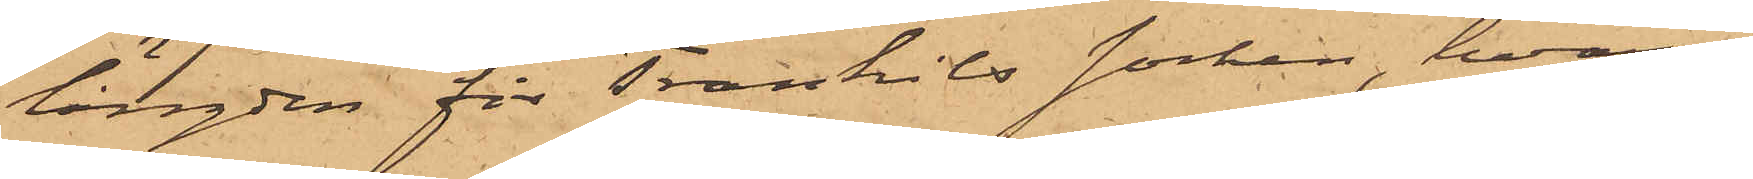längden för Trankils socken, hvari
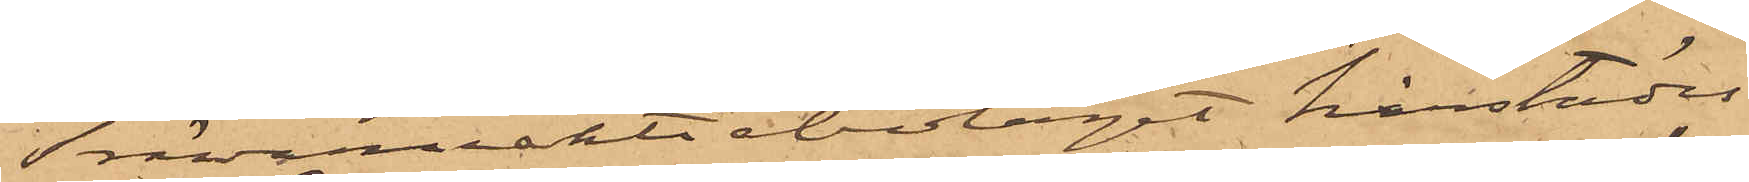Trävaruaktiebolaget härstädes
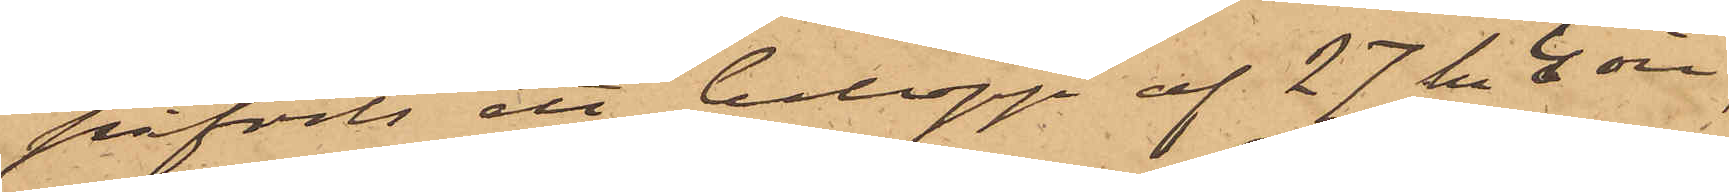påförts ett belopp af 27 kr 4 öre,
